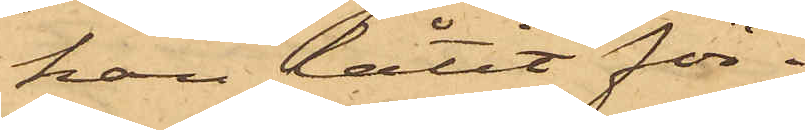han låtit för¬
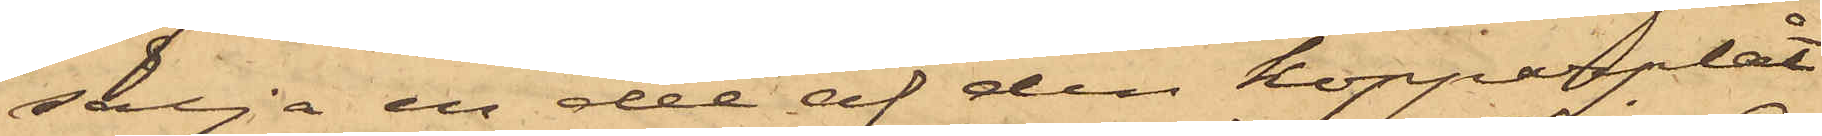sälja en del af den kopparplåt
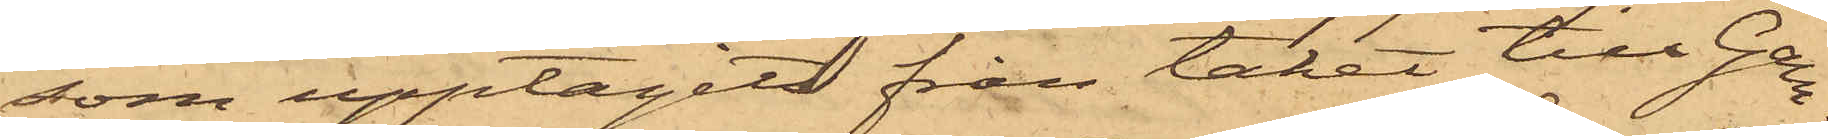som upptagits från taket till Gam¬
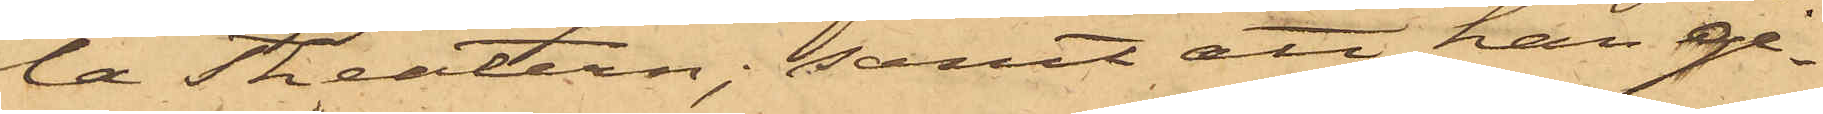la Theatern; samt att han ge¬
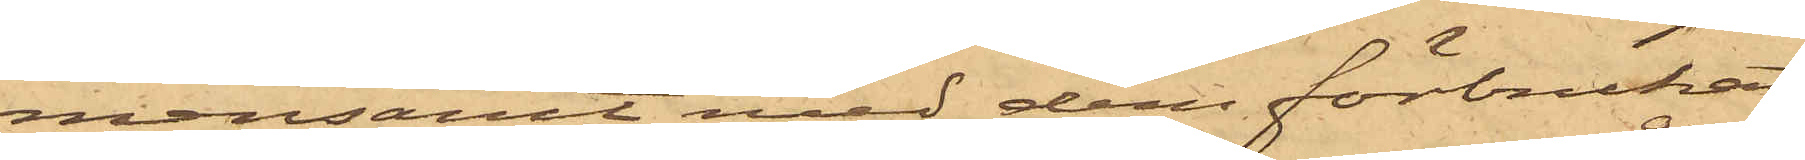mensamt med dem förbrukat
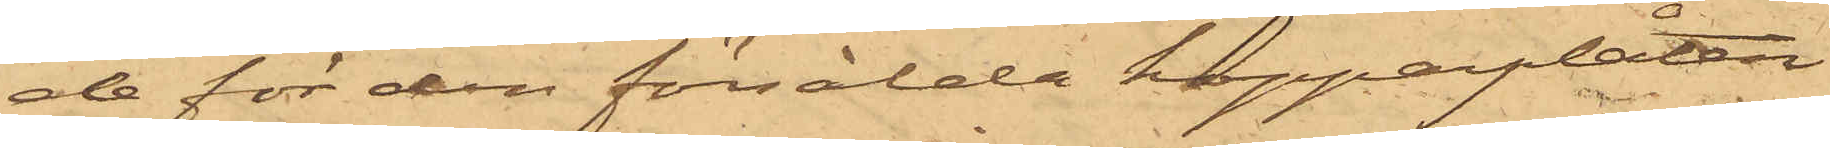de för den försålda kopparplåten
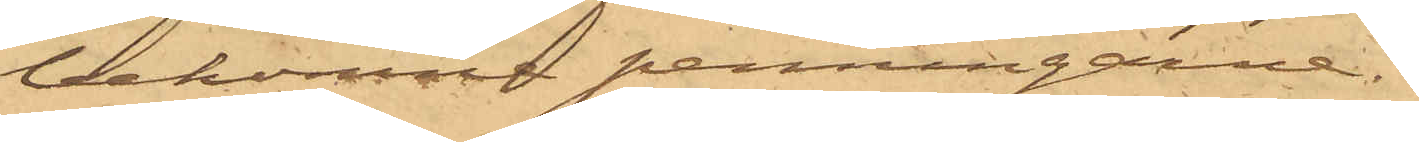bekomne penningarne.
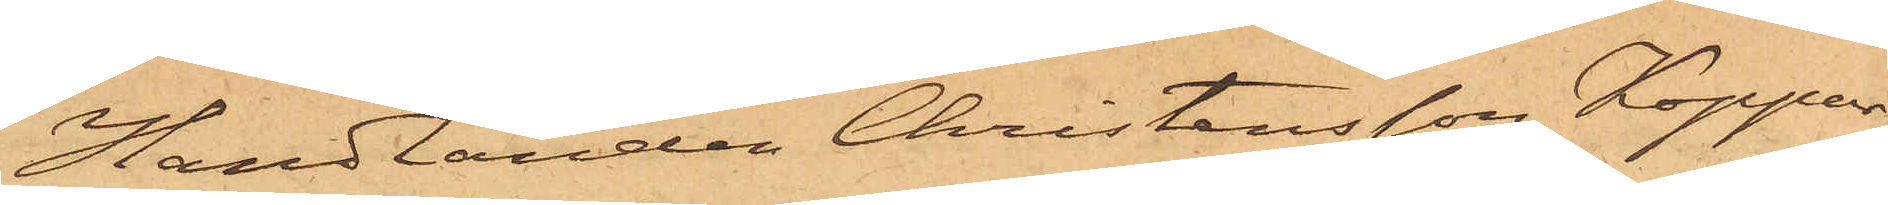Handlanden Christensson, Koppar¬
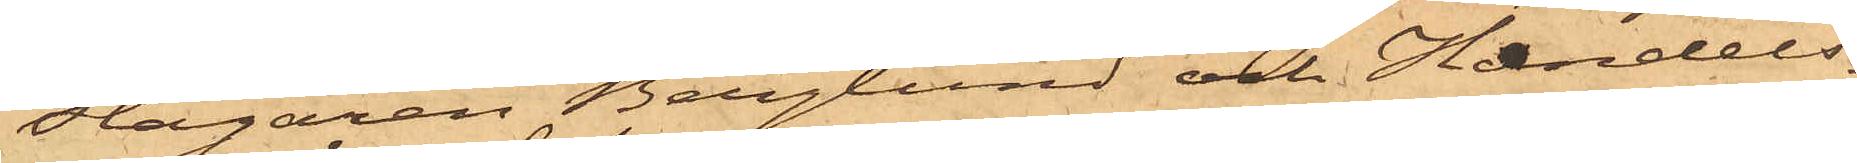slagaren Berglund och Handels¬
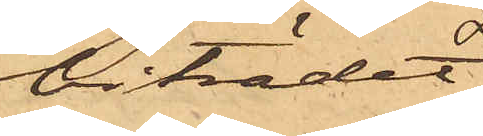biträdet
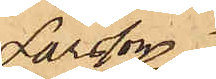Larsson
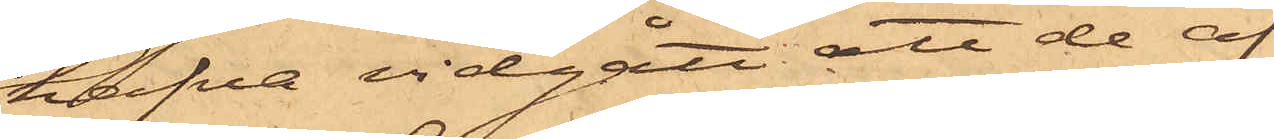hafva vidgått att de af
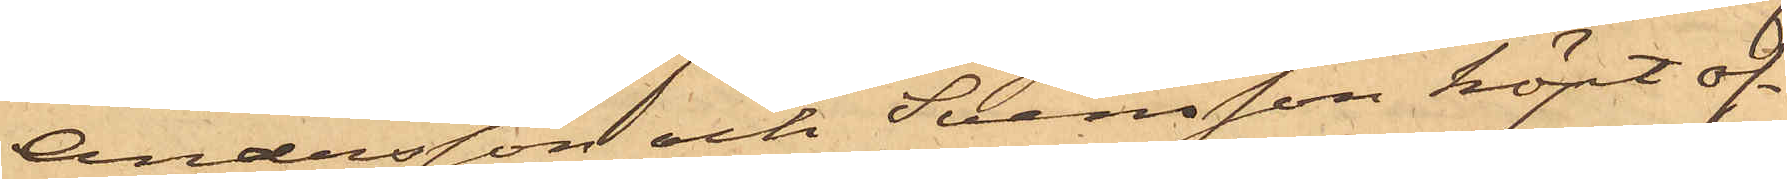Andersson och Svensson köpt of¬
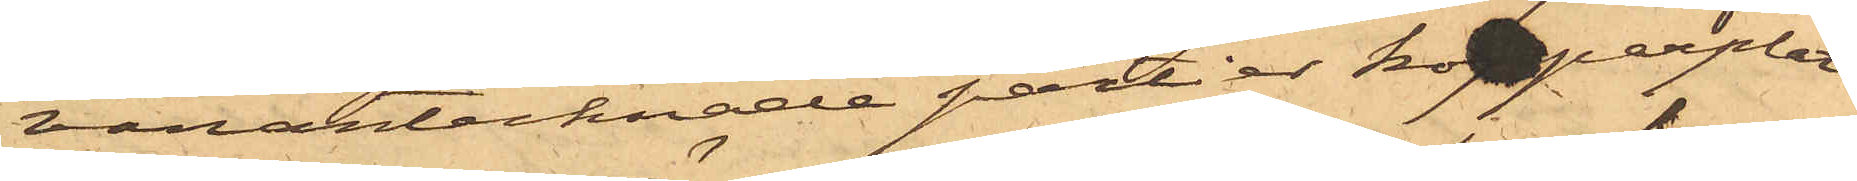vanantecknade partier kopparplåt.
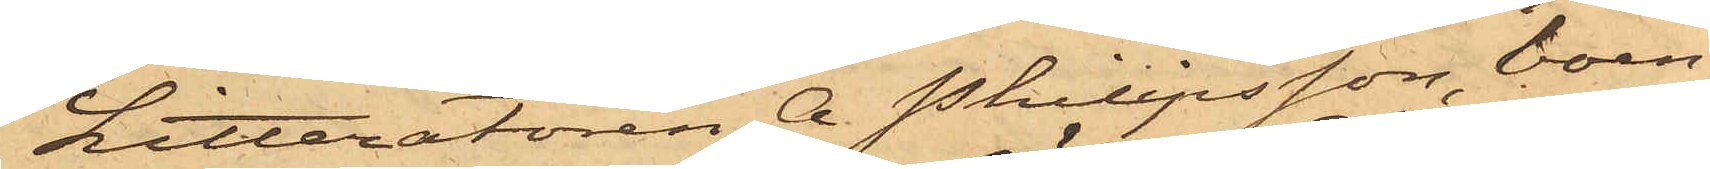Litteratören A. Philipsson, boen¬
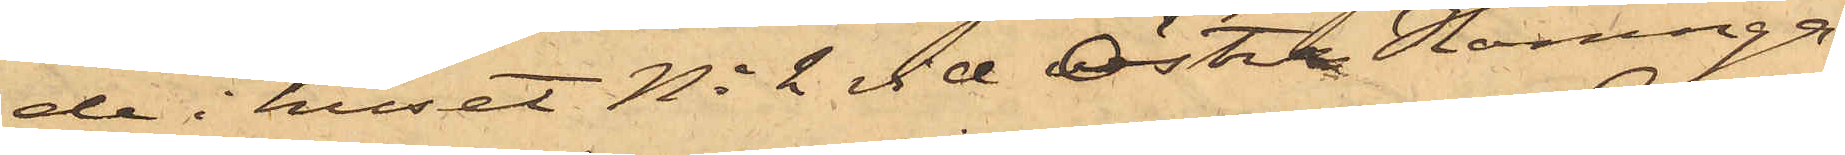de i huset No 2 vid Östra Hamnga¬
